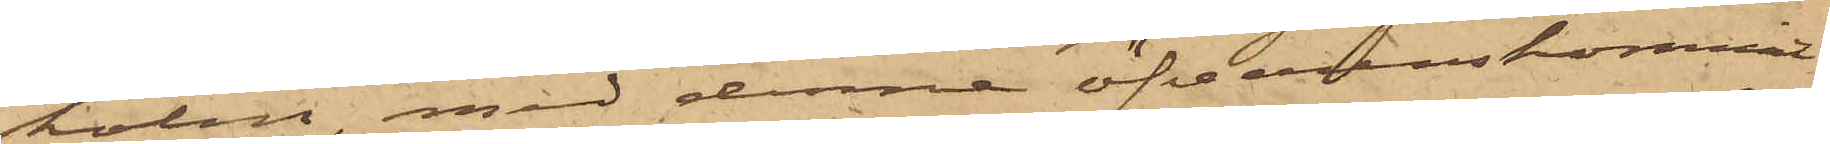holm, med denne öfverenskommit
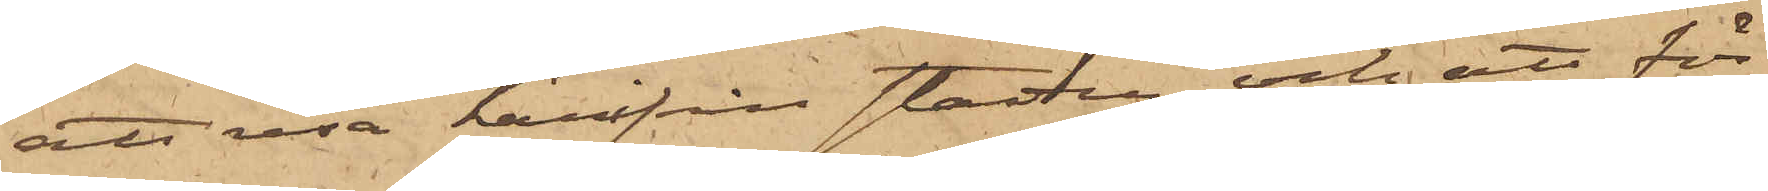att resa härifrån staden och att för
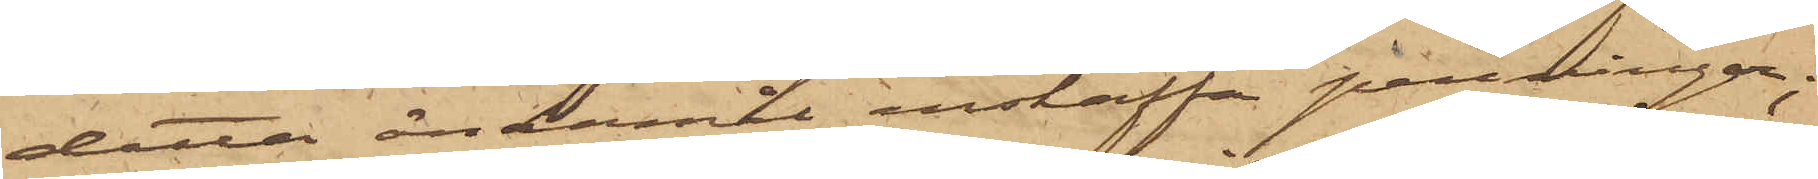detta ändamål anskaffa penningar;
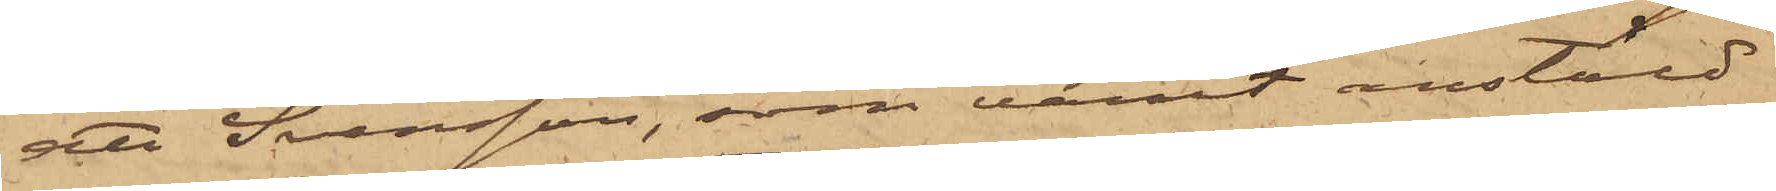att Svensson, som varit anstäld
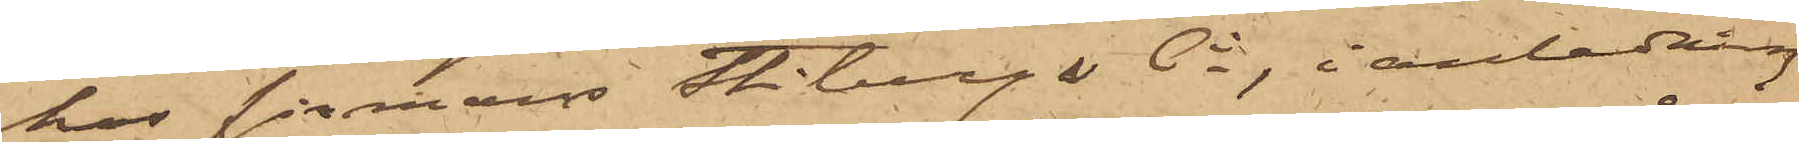hos firman Stibergs Ci, i anledning
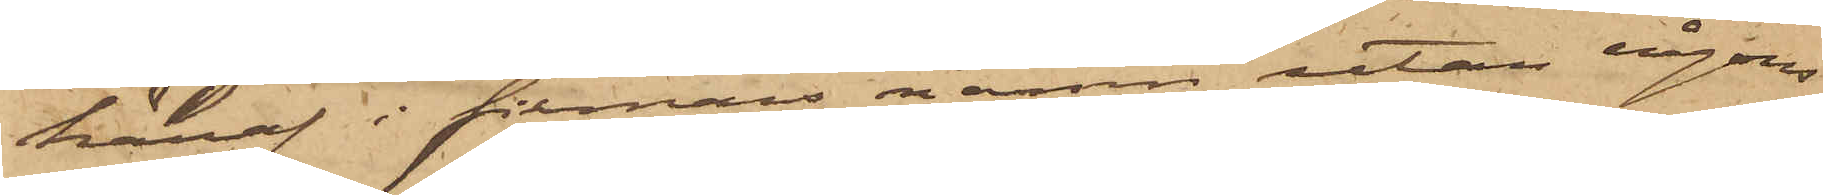häraf i firmans namn utan någons
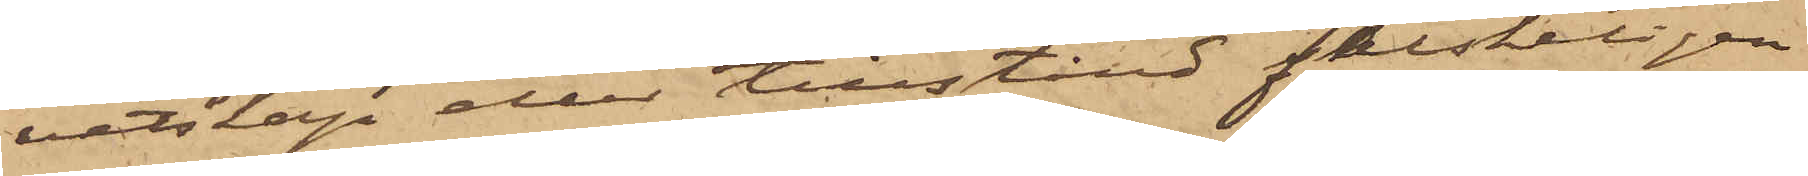vetskap eller tillstånd falskeligen
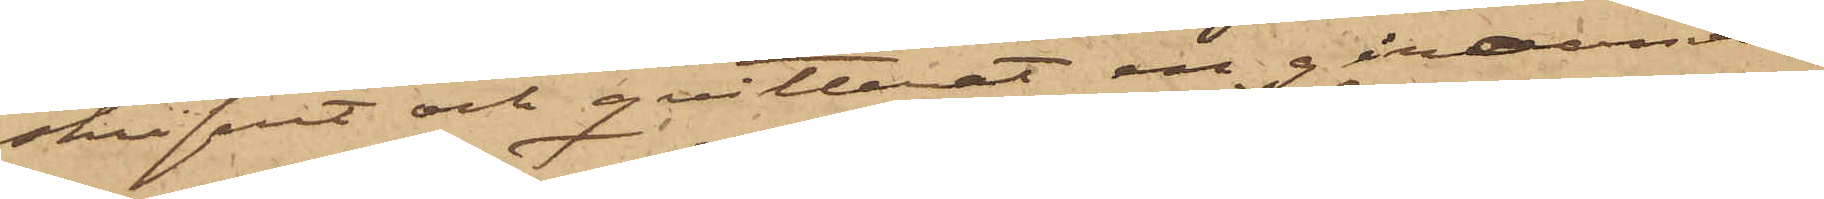skrifvit och qvitterat en giroanvis¬
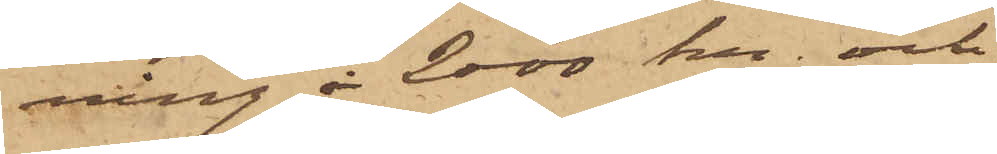ning å 2000 kr och
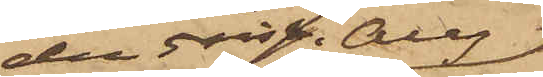den 5 sist. Aug
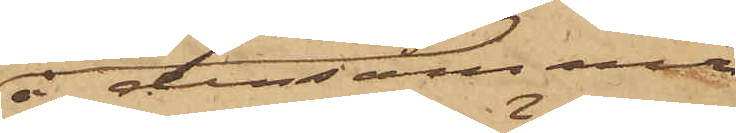å densamma
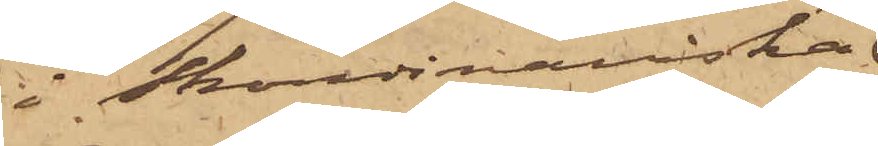i Skandinaviska
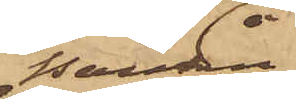Banken
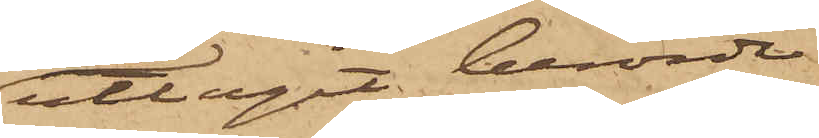uttagit berörde
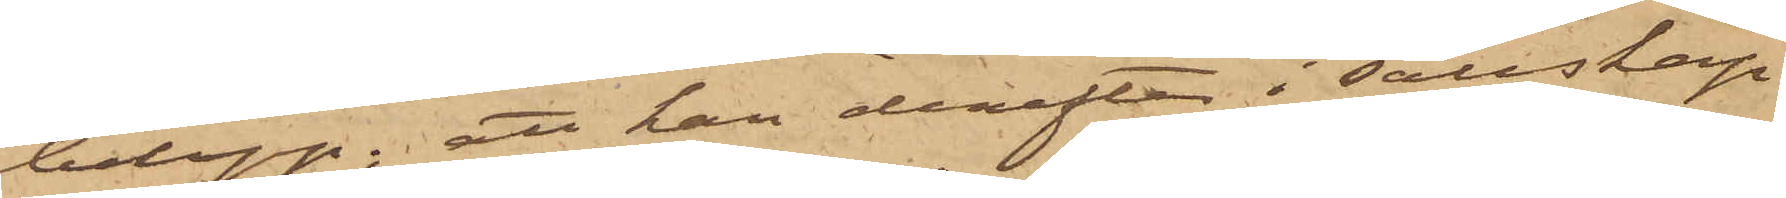belopp; att han derefter i sällskap
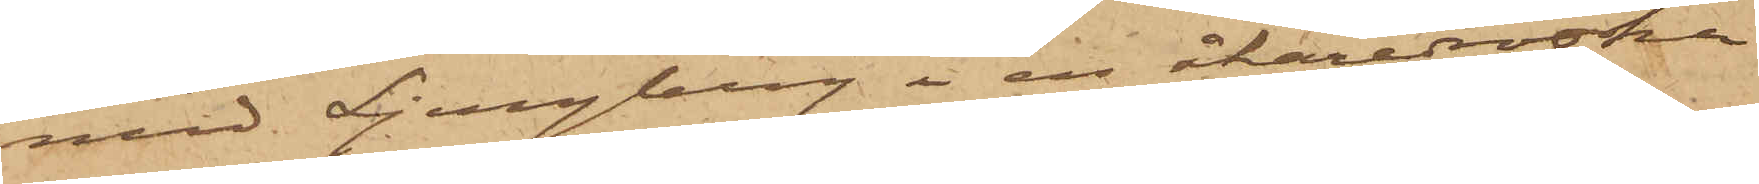med Ljungberg i en åkaredroska
